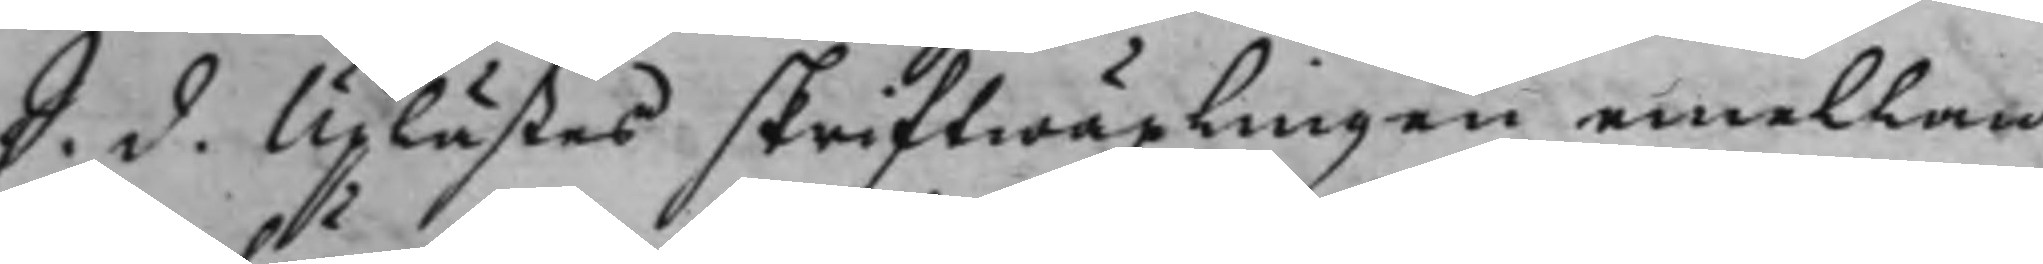S. d. Uplästes skriftwäxlingen emellan
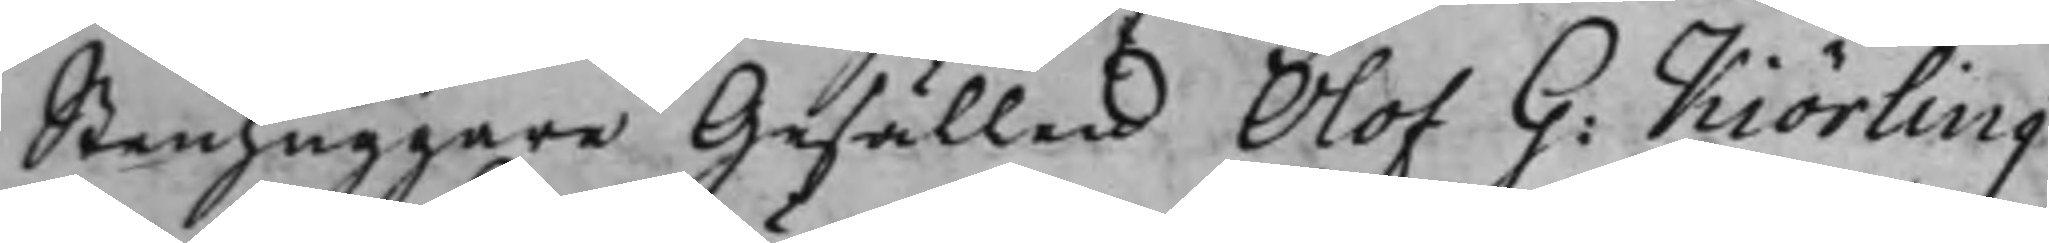Stenhuggare Gesällen Olof G: Kiörling
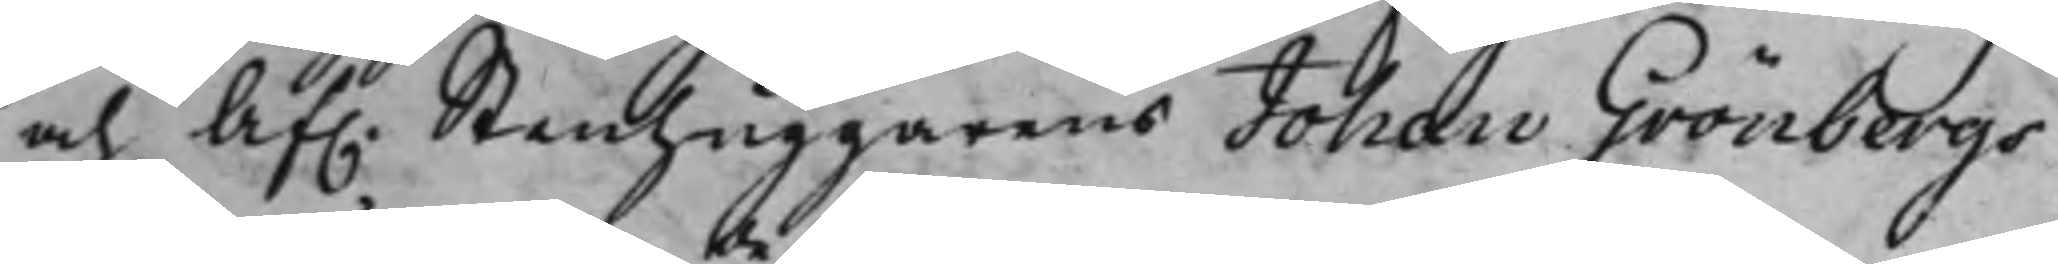och Af. Stenhuggarens Johan Grönbergs
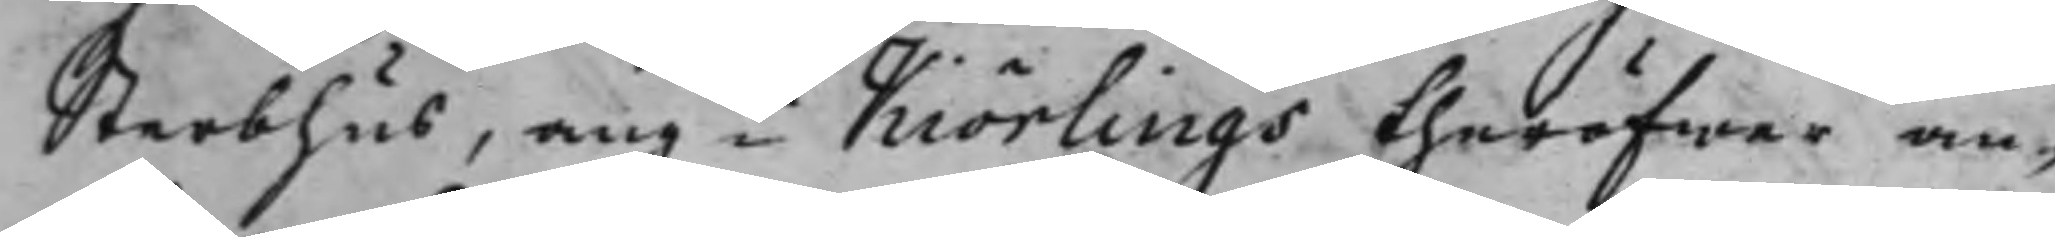Sterbhus, angde Kiörlings theröfwer an¬
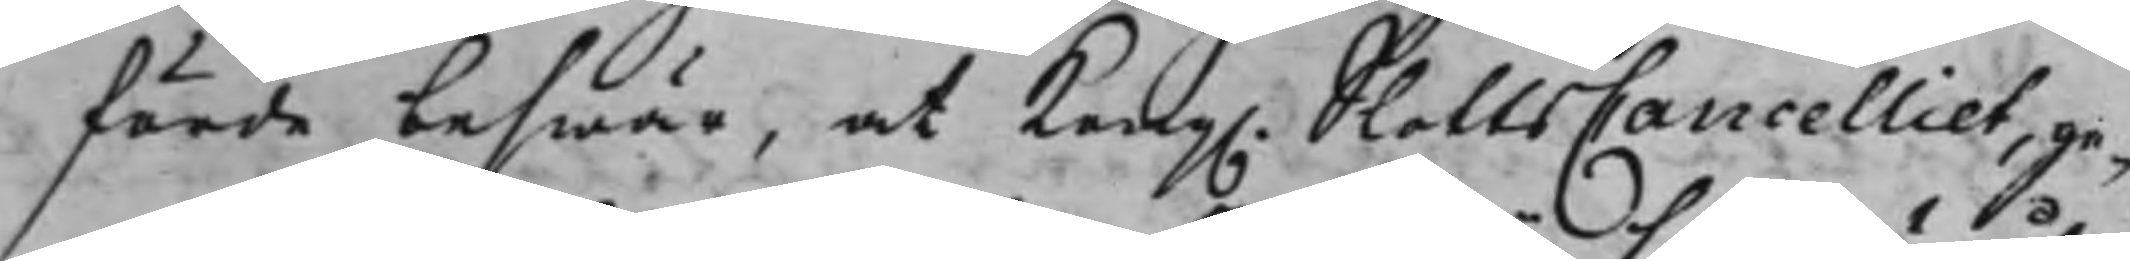förde beswär, at Kong. SlottsCancelliet, ge¬
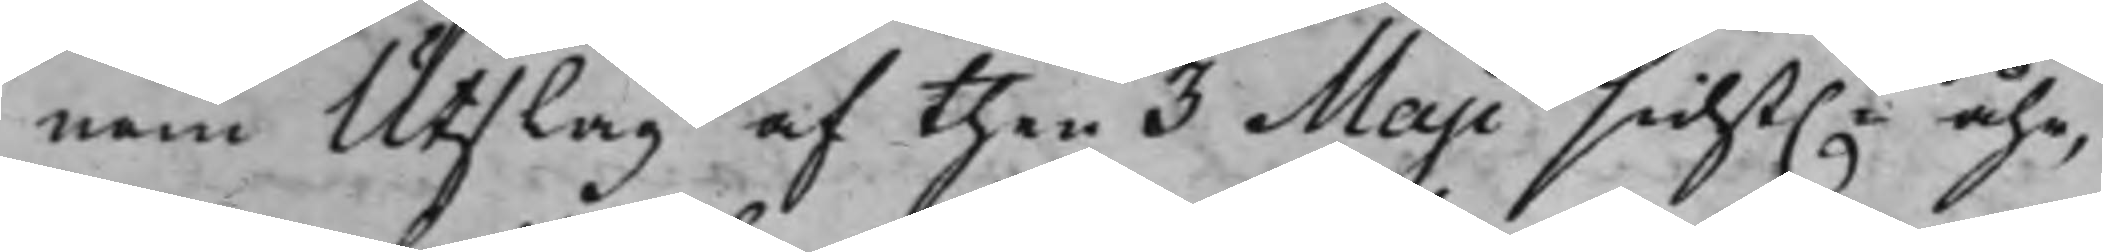nom Utslag af then 3 Maji sidst.e åhr,
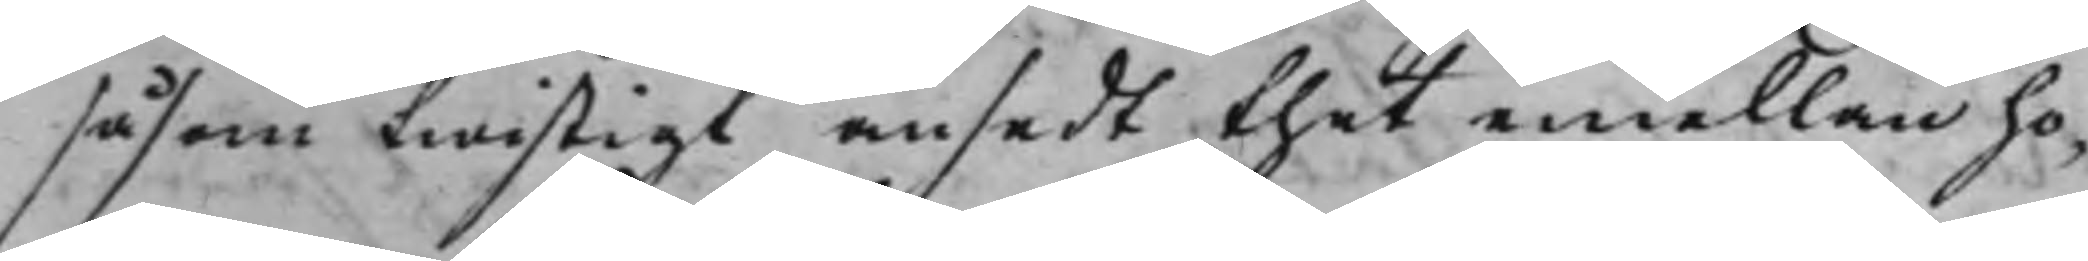såsom twistigt ansedt thet emellan ho¬
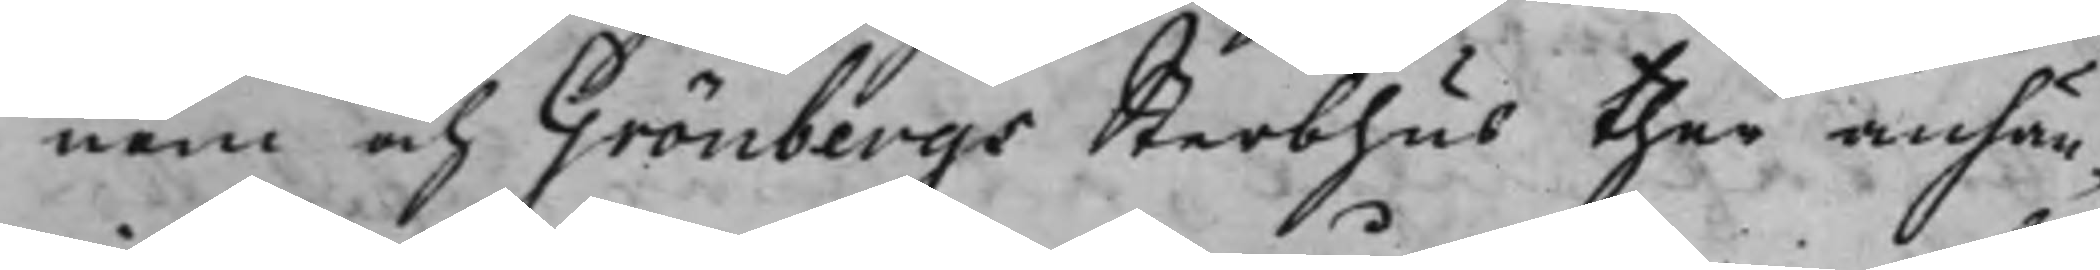nom och Grönbergs Sterbhus ther anhän¬
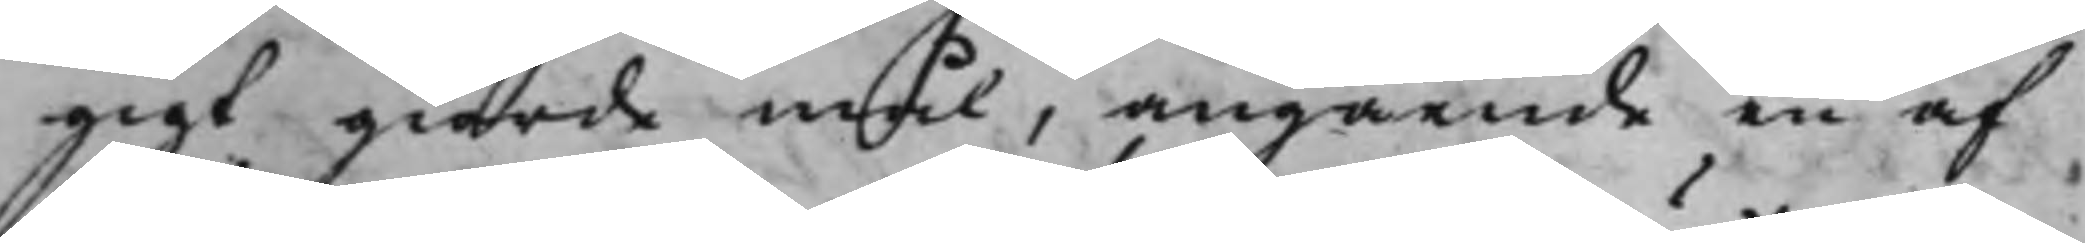gigt giorde mål, angående en af
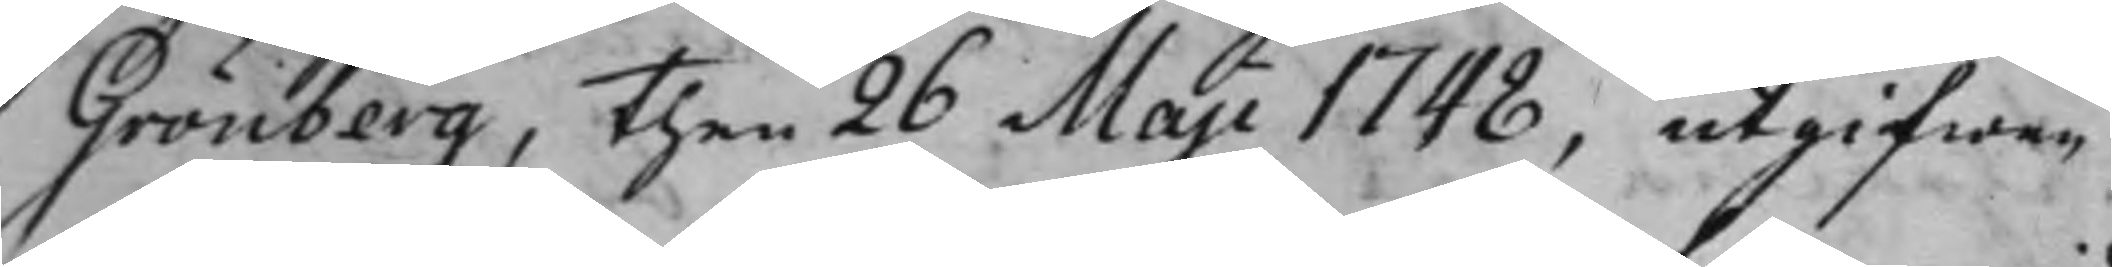Grönberg, then 26 Maji 1748, utgifwen
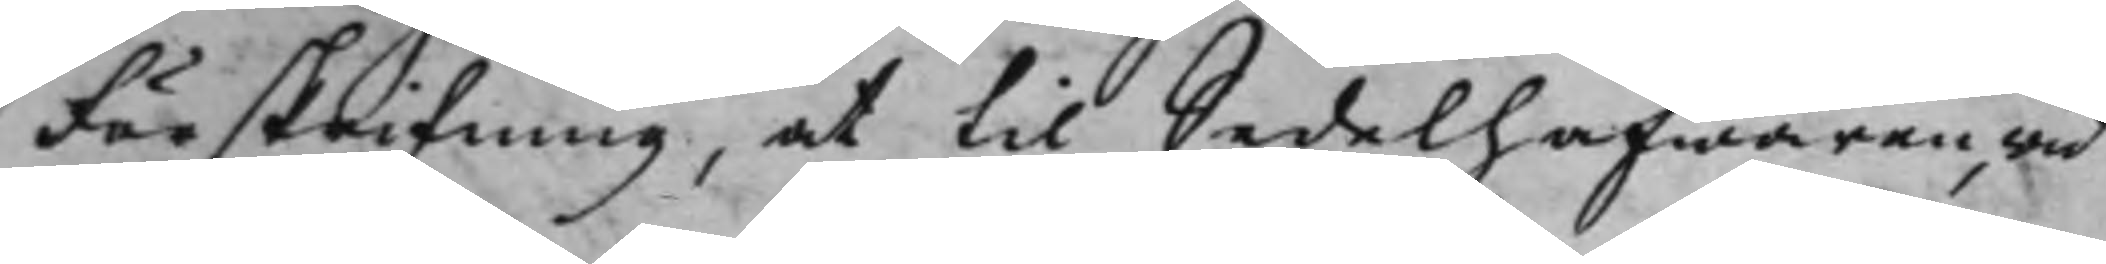Förskrifning, at til Sedelhafwaren, wid
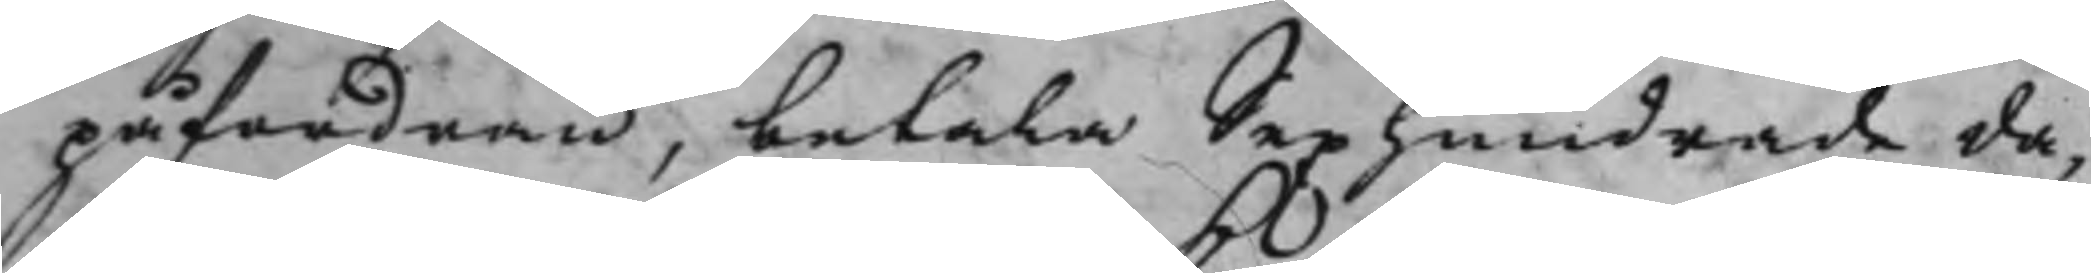påfordran, betala Sexhundrade da¬
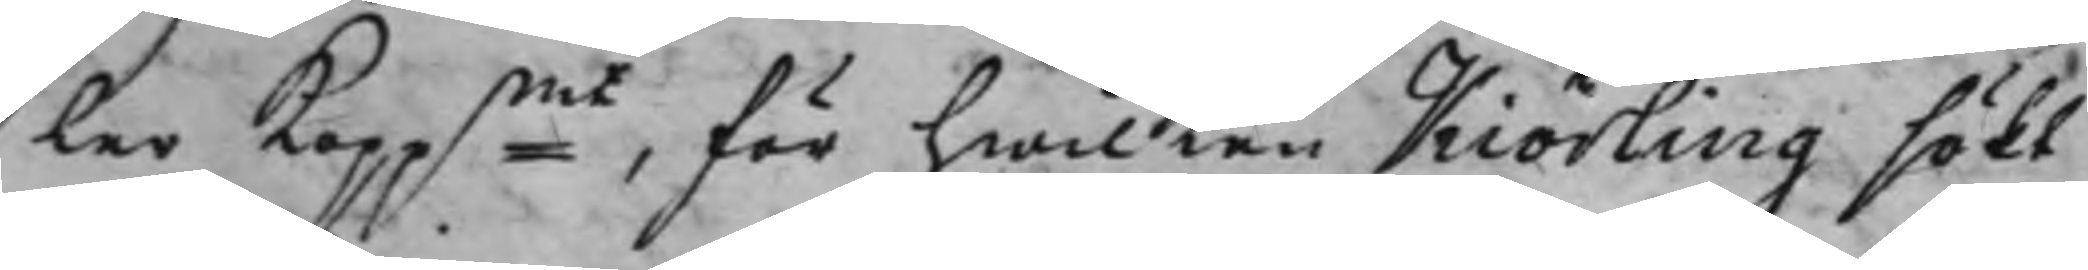ler Koppmt, för hwilken Kiörling sökt
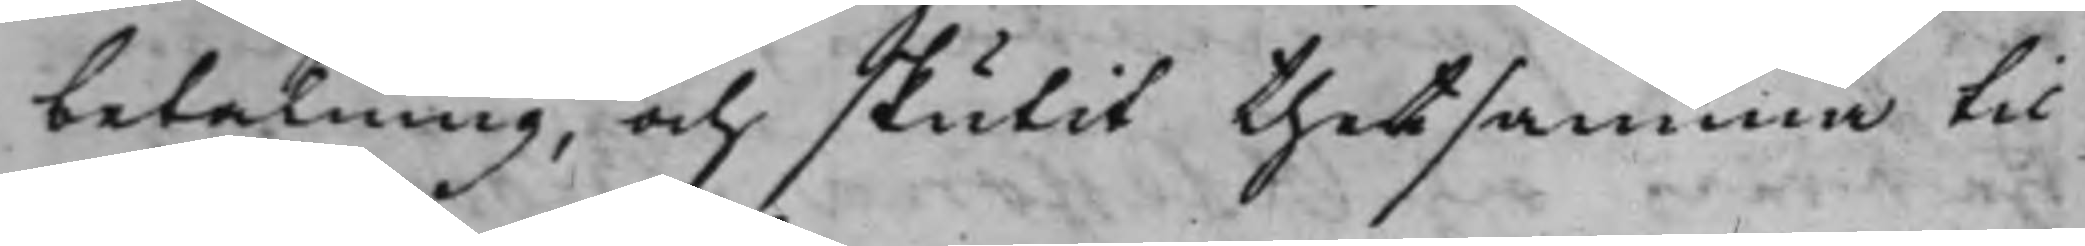betalning, och skutit thetsamma til
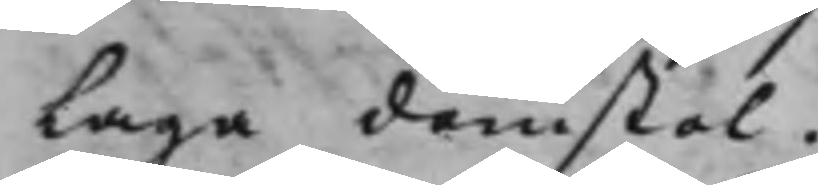Laga domstol.
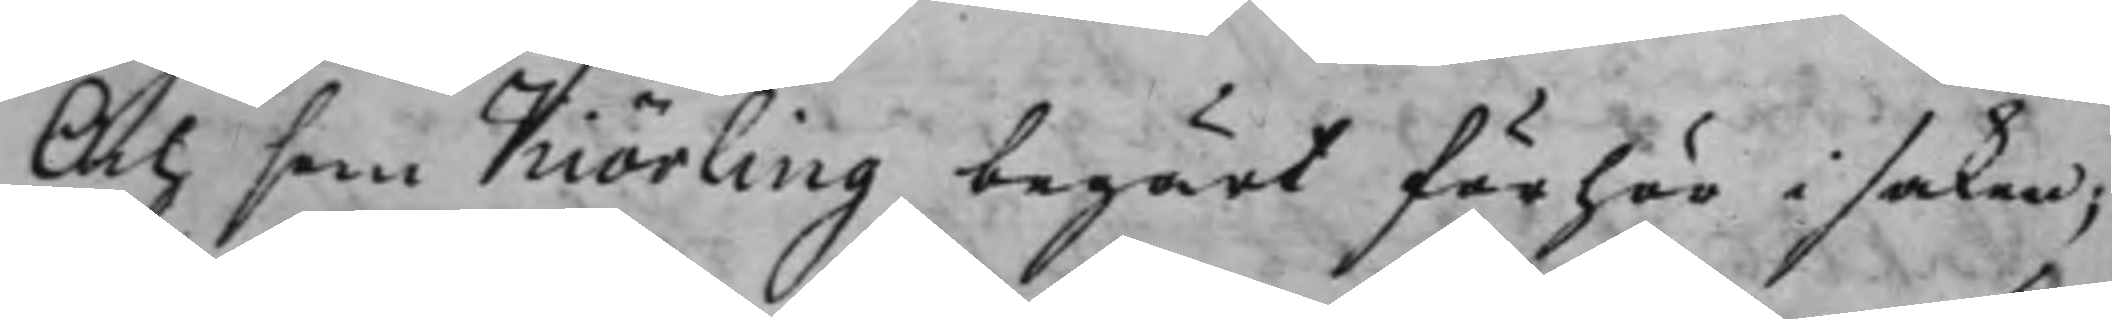Och som Kiörling begärt förhör i saken;
